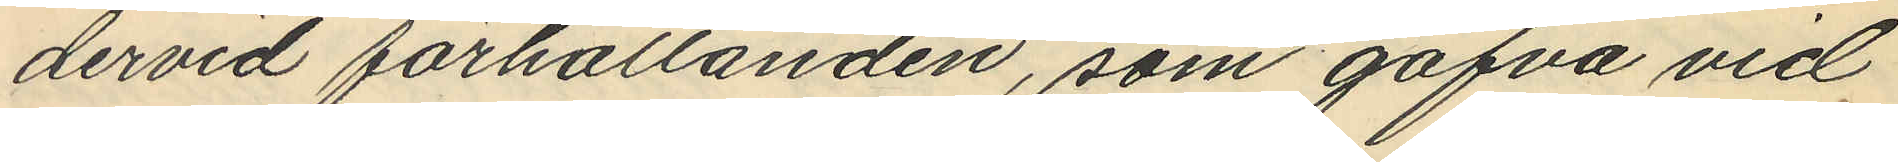dervid förhållanden, som gåfva vid
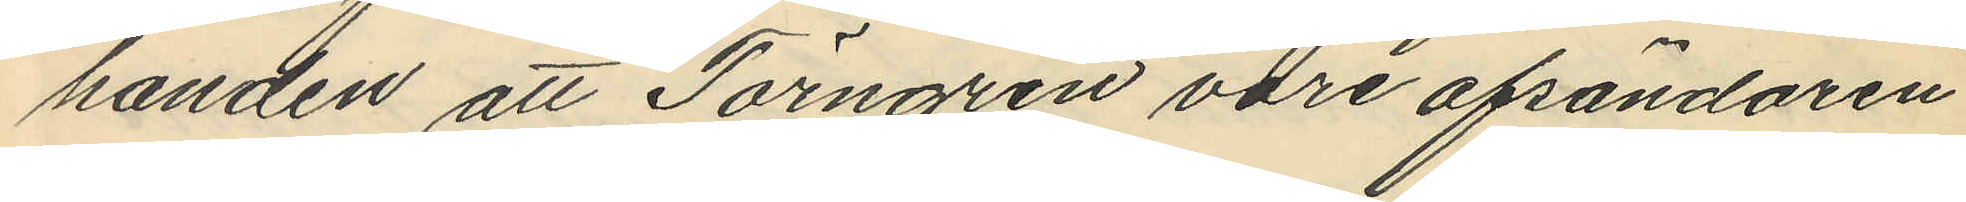handen att Törngren vore afsändaren
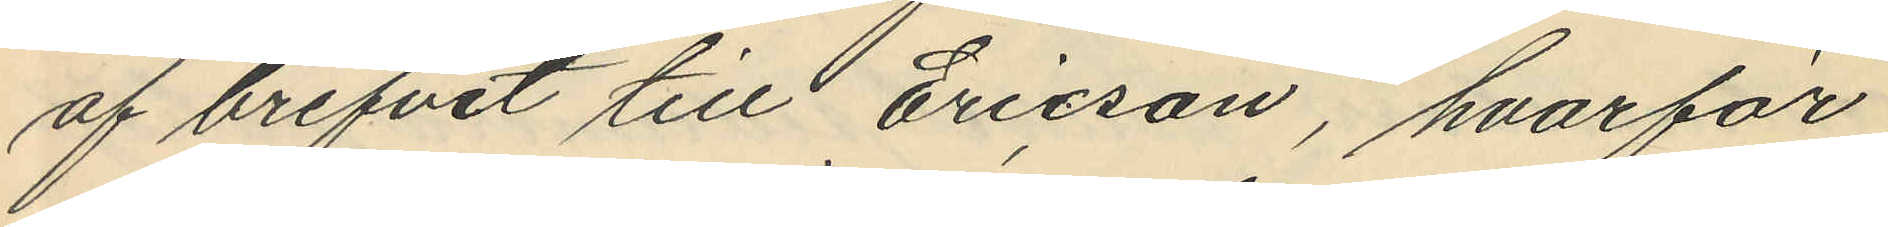af brefvet till Ericson, hvarför
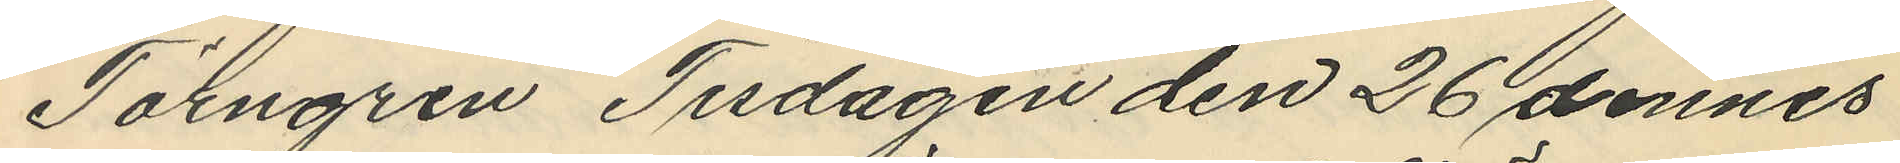Törngren Tisdagen den 26 dennes
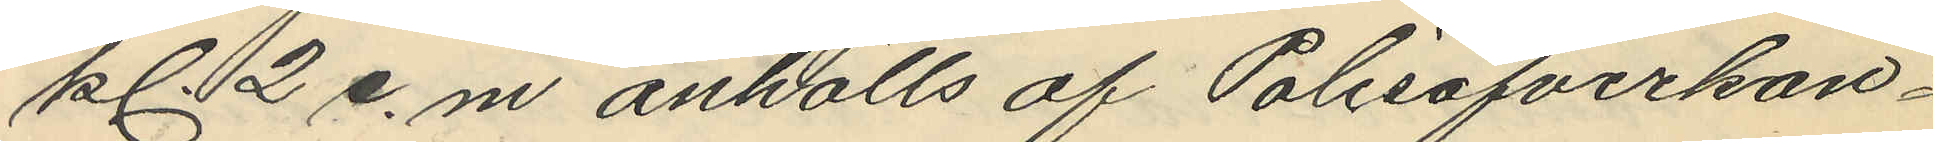kl 2 e.m. anhölls af Polisöfverkon¬
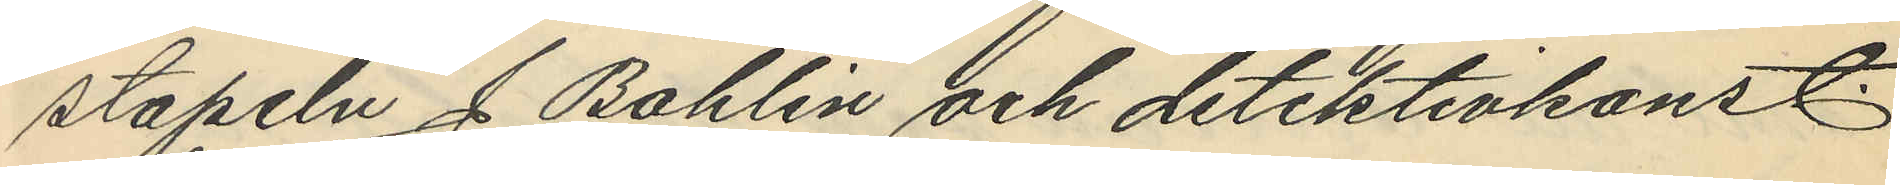stapeln J. Bohlin och detektivkonst.
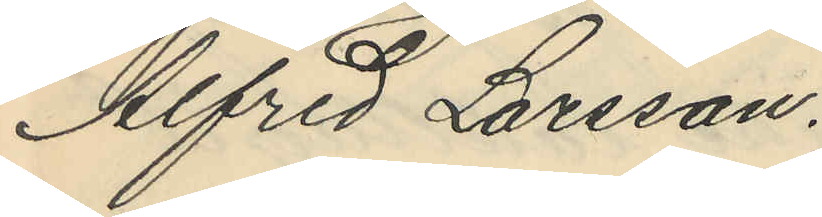Alfred Larsson.
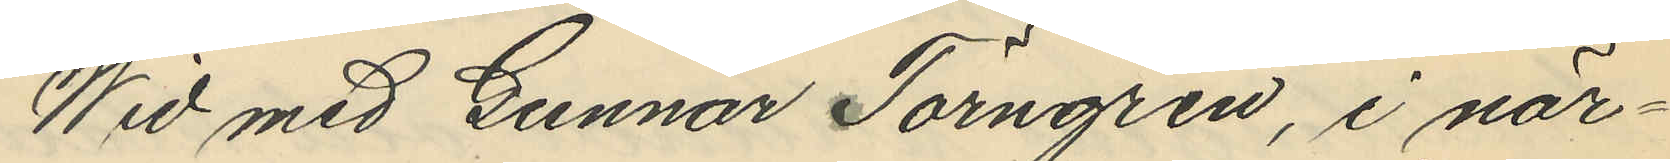Wid med Gunnar Törngren, i när¬
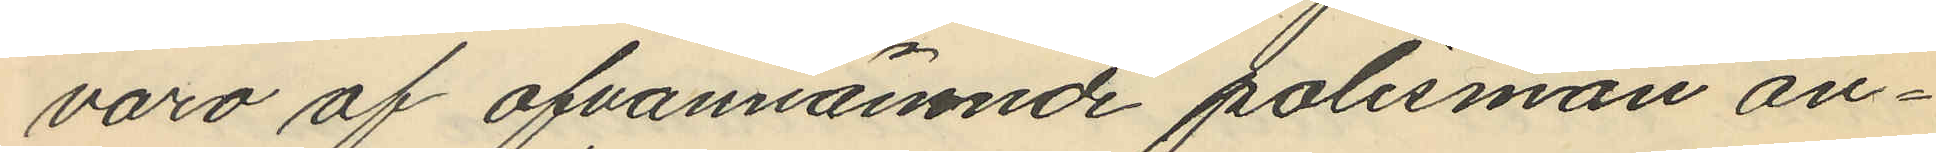varo af ofvannämnde polismän an¬
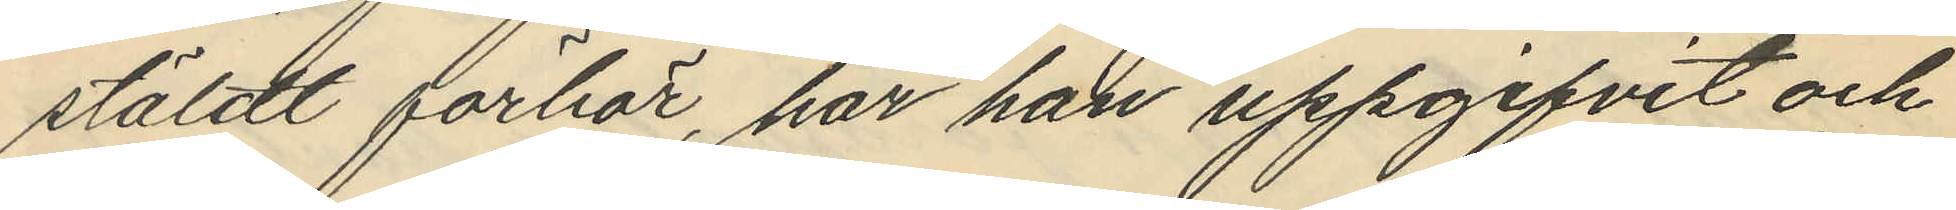stäldt förhör, har han uppgifvit och
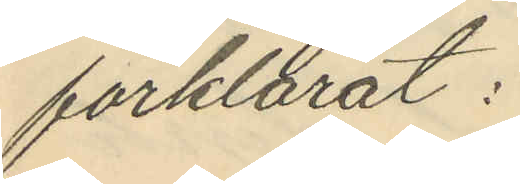förklarat:
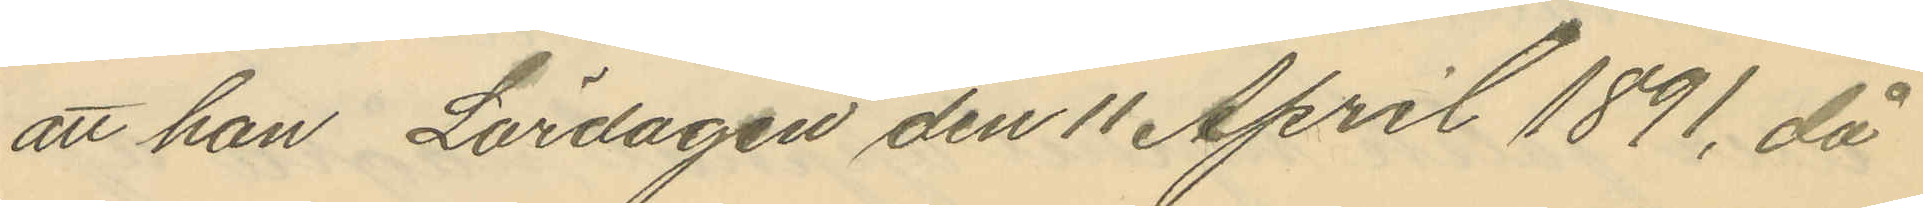att han Lördagen den 11 April 1891, då
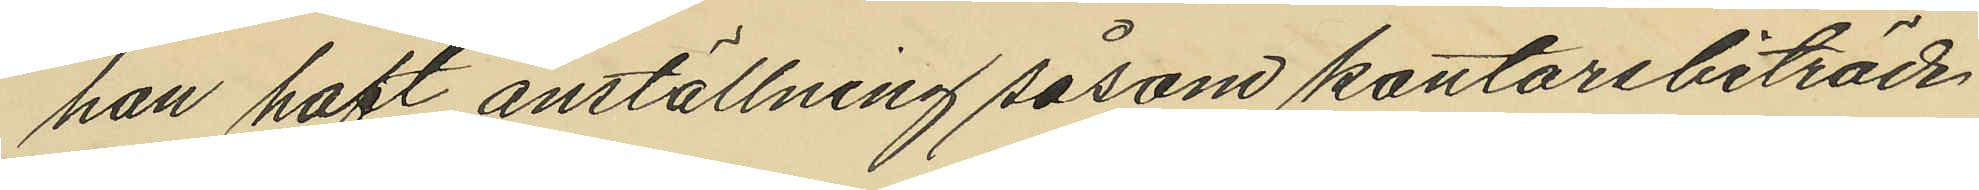han haft anställning såsom kontorsbiträde
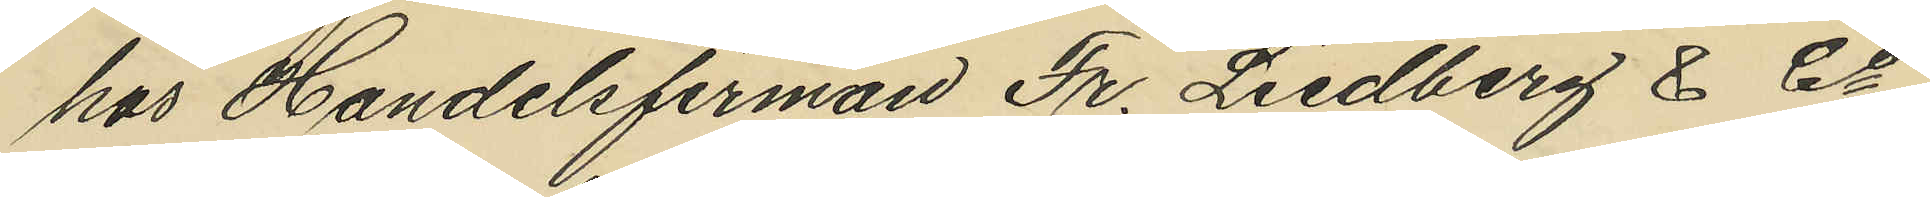hos Handelsfirman Fr. Liedberg & Co,
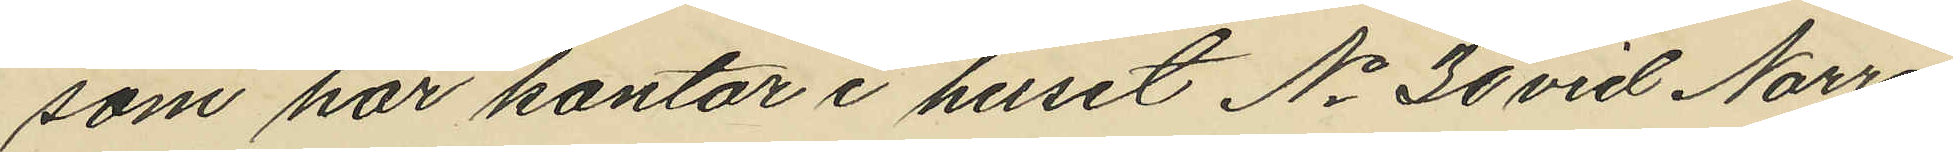som har kontor i huset No 30 vid Norra
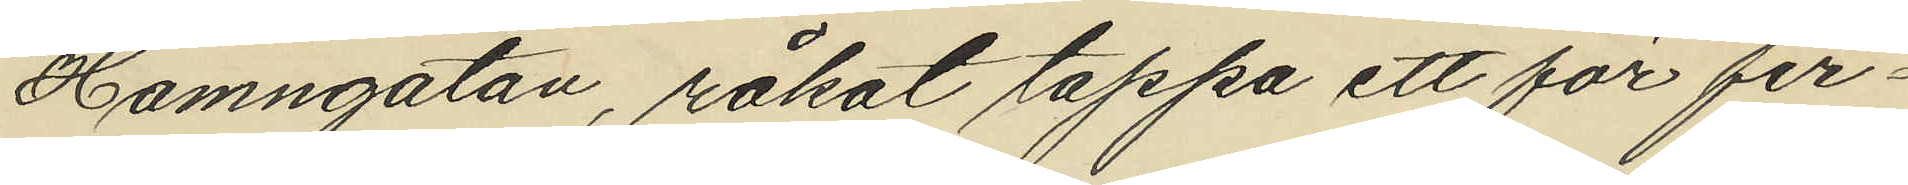Hamngatan, råkat tappa ett för fir¬
